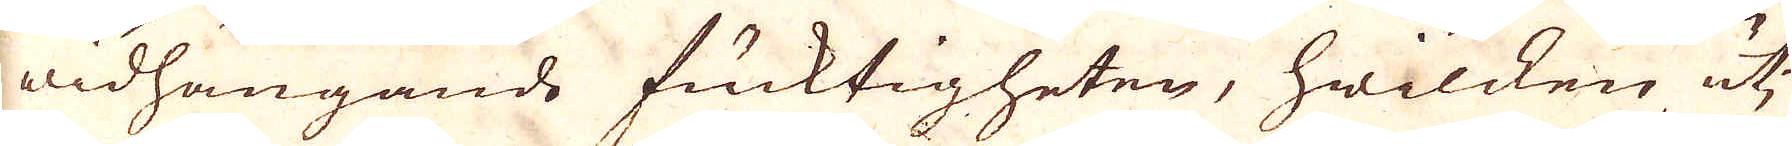widhängande fuktigheten, hwilken uti
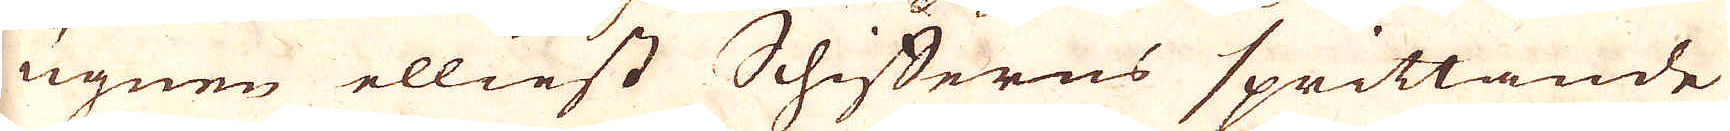ugnen elliest Schifferns sprittande
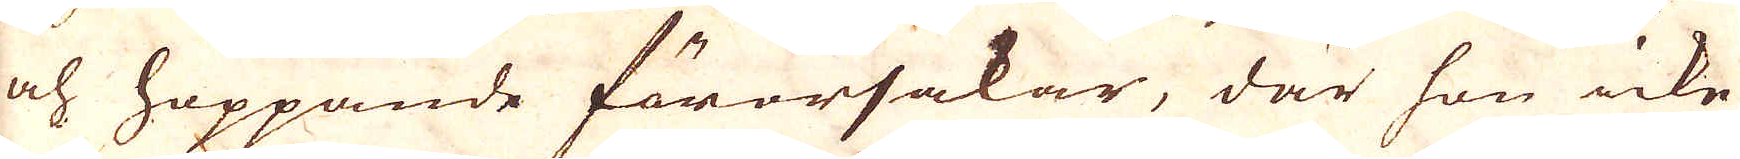och hoppande förorsakar, där hon icke
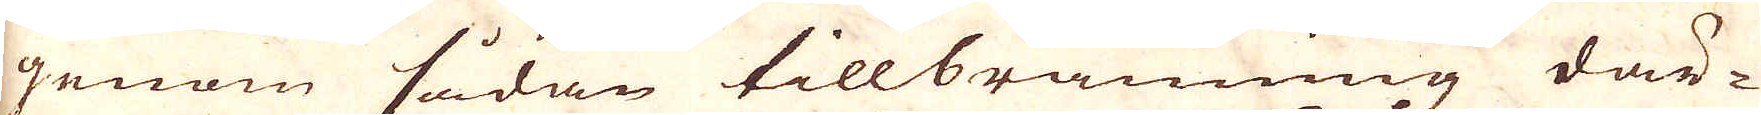genom sådan tillbränning där-
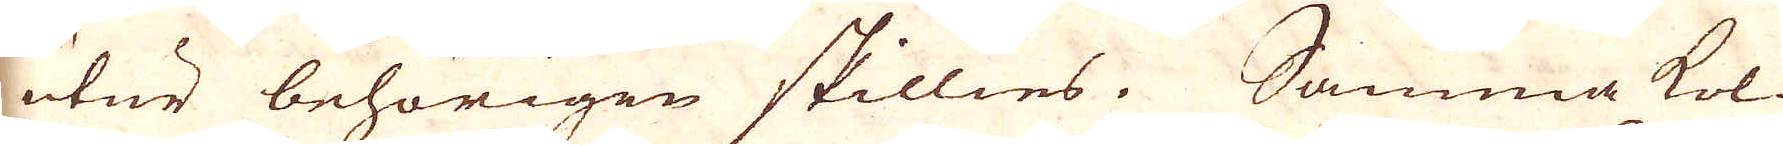utur behörigen skillies. Samma kol-
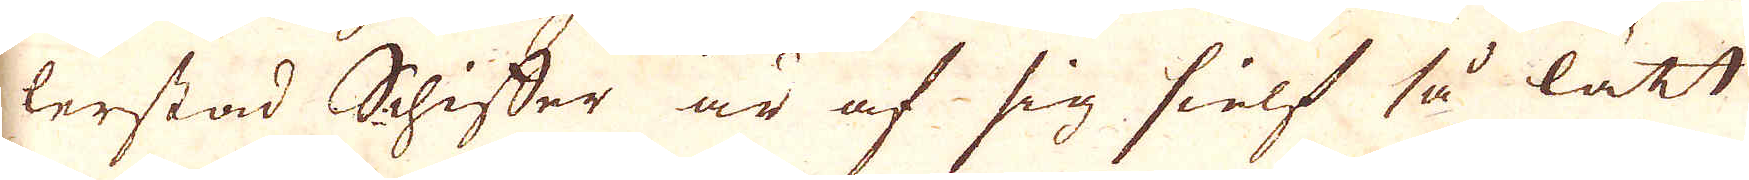lerstad Schiffer är af sig sielf så lätt
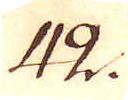42.
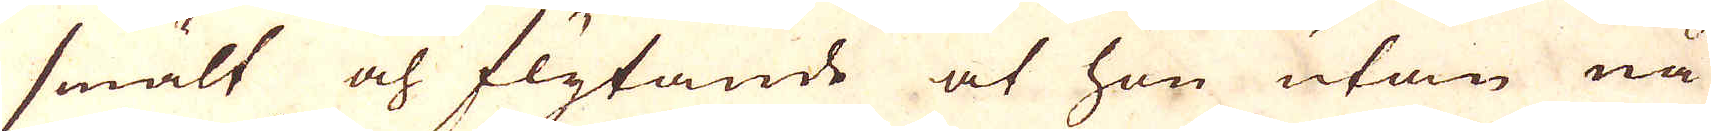smält och flytande at han utan nå-
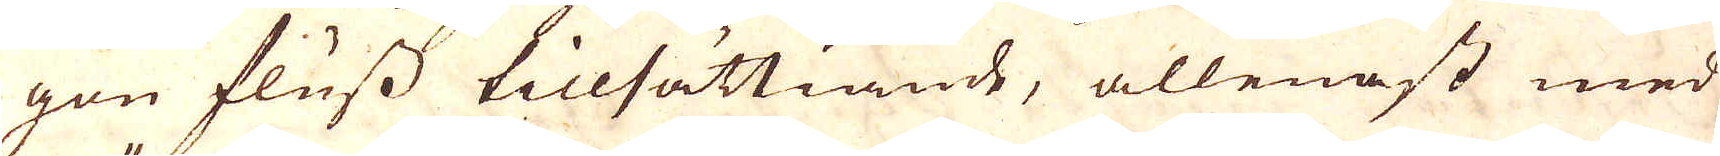gon fluss tillsättiande, allenast med
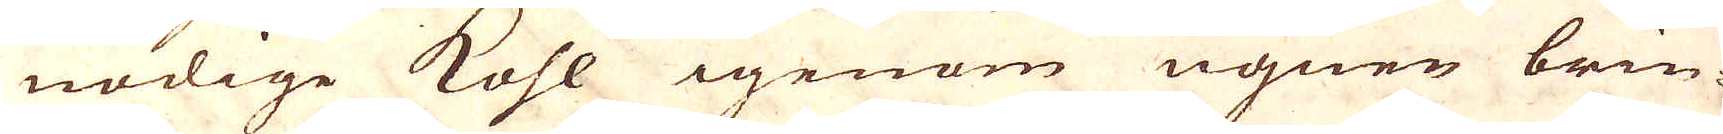nödige kohl igenom ugnen brin-
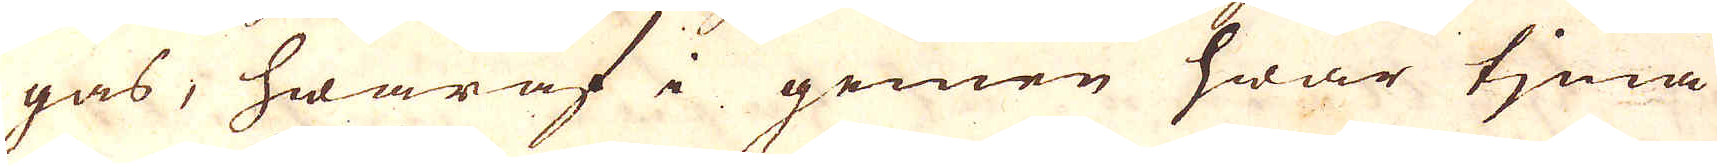gas, hwaraf i gemen hwar tjena
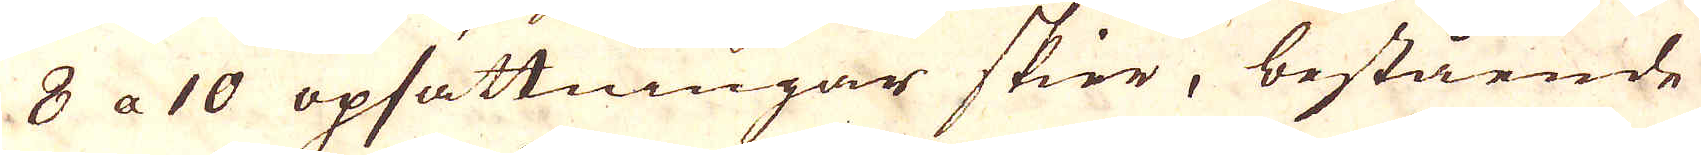8 a 10 opsättningar sker, bestående
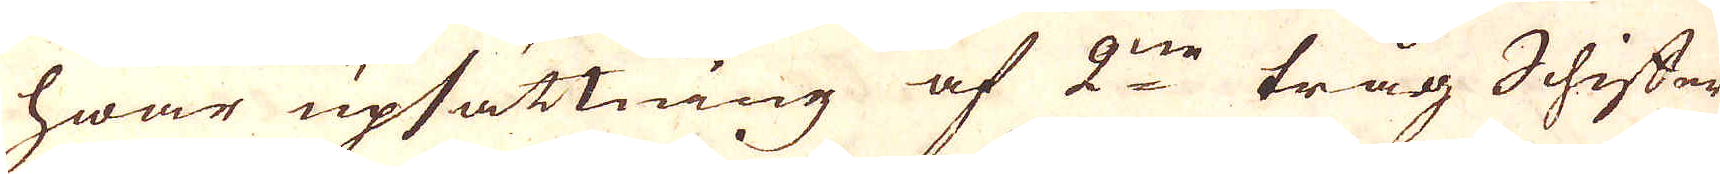hwar upsättning af 2ne tråg Schiffer
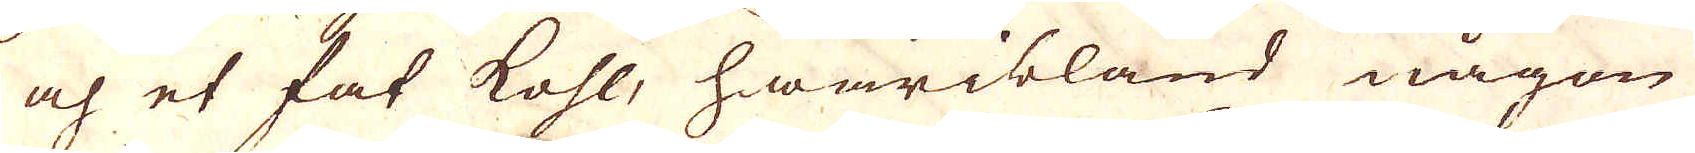och et fat kohl, hwaribland någon
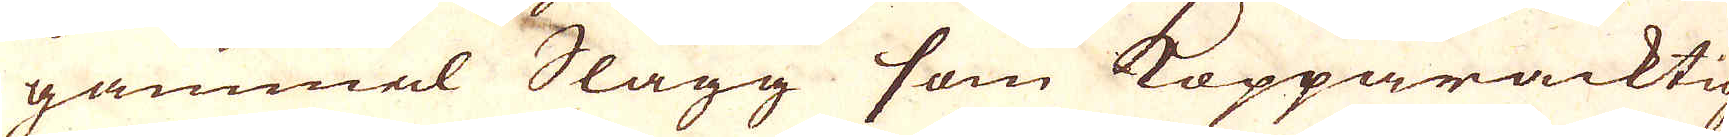gammel Slagg som Kopparacktig
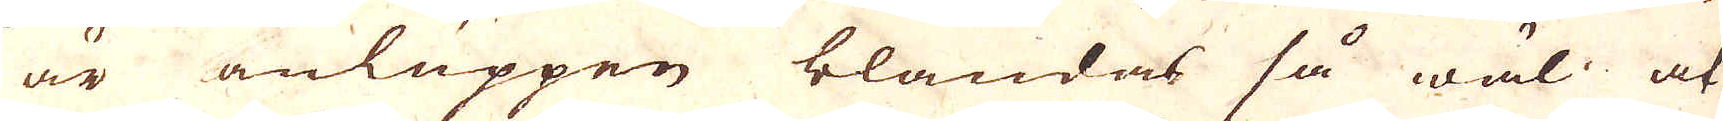är anluppen blandas så wäl at
